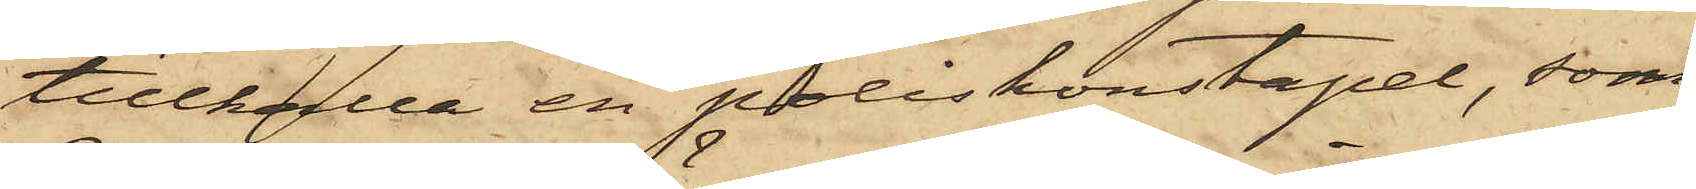tillkalla en poliskonstapel, som
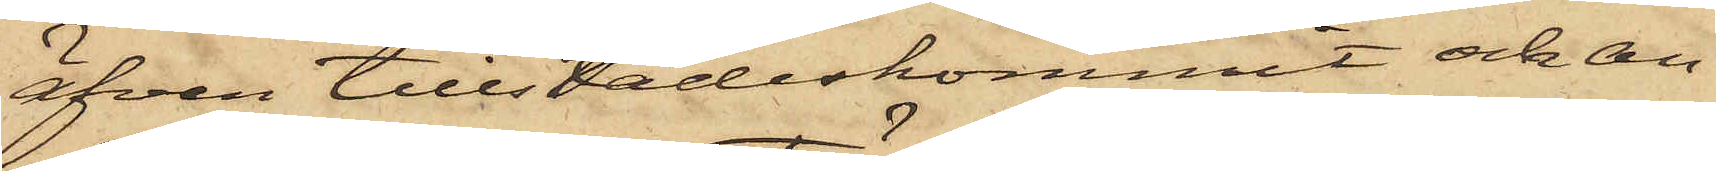äfven tillstädeskommit och an¬
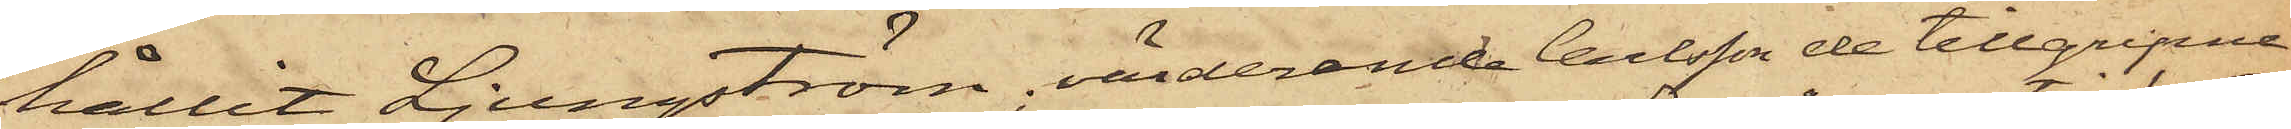hållit Ljungström, värderande Carlsson de tillgripne
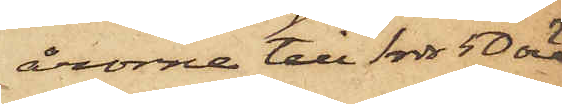årorna till 1 rdr 50 öre
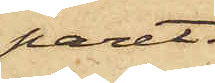paret.
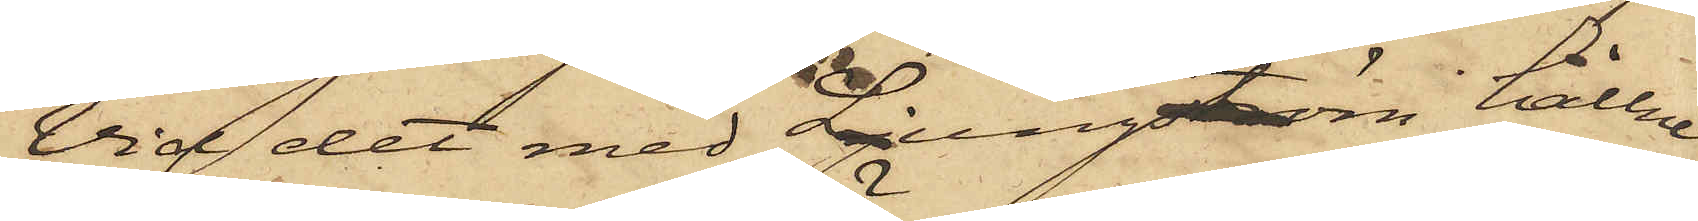Vid det med Ljungström hållne
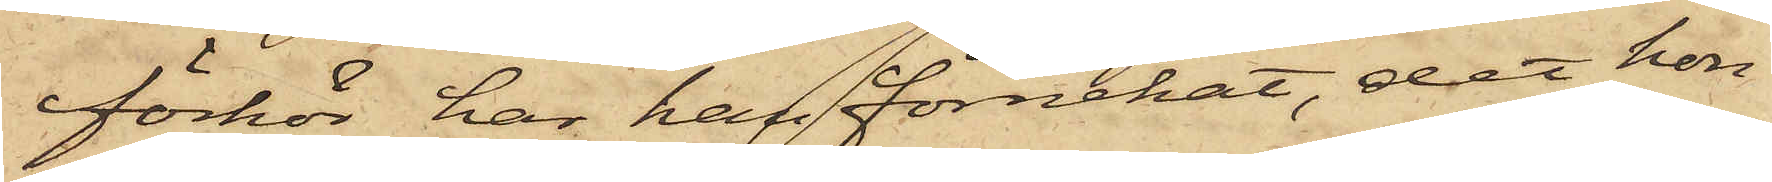förhör har han förnekat, det han
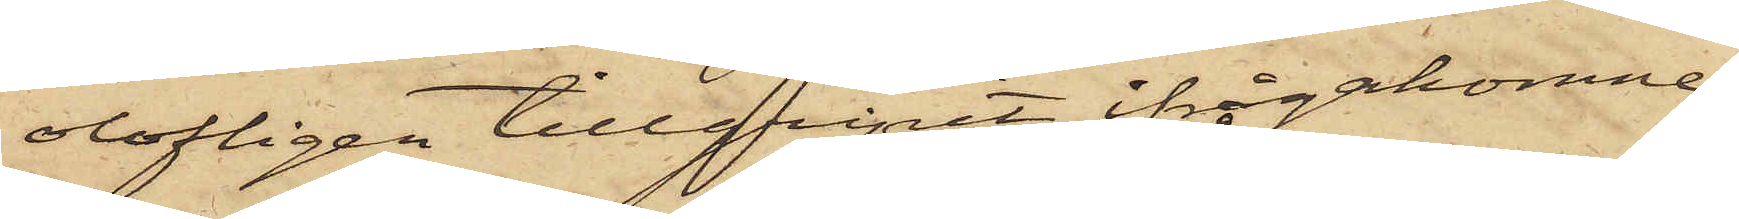olofligen tillgripit ifrågakomne
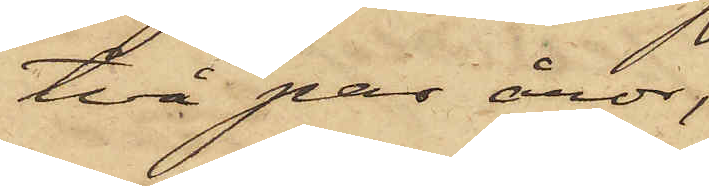två par åror,
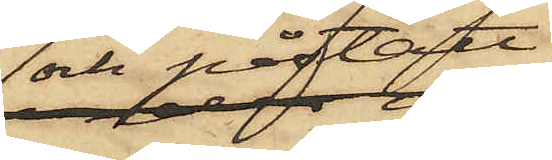och påstått,
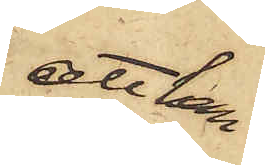att han
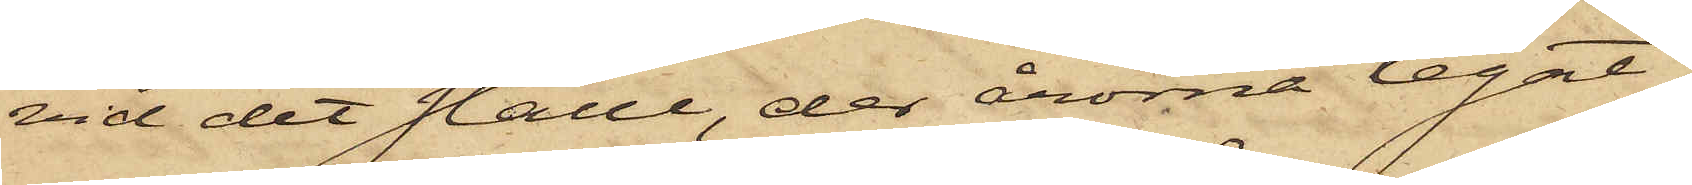vid det ställe, der årorna legat,
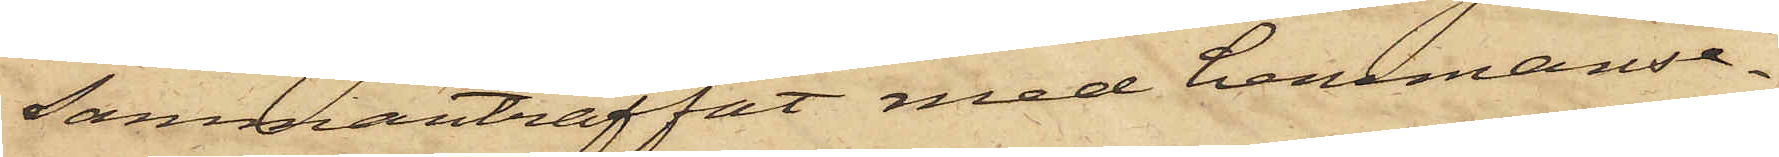sammanträffat med hemmanse¬
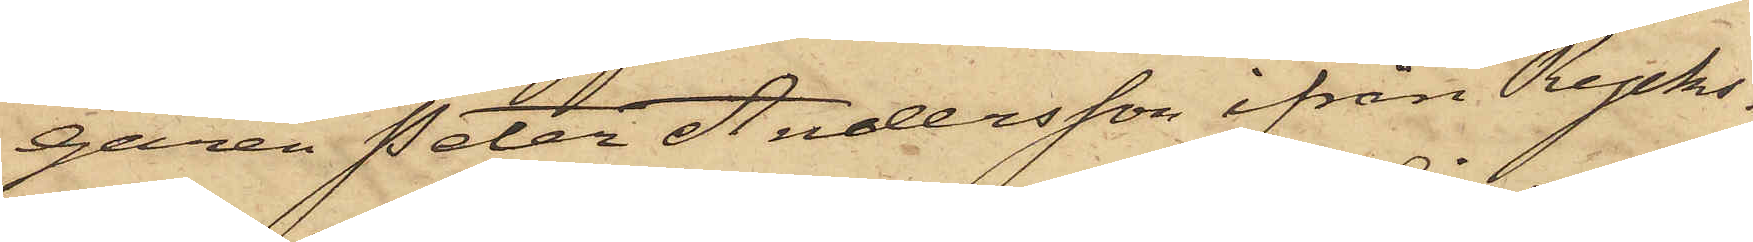garen Peter Andersson ifrån Rycks¬
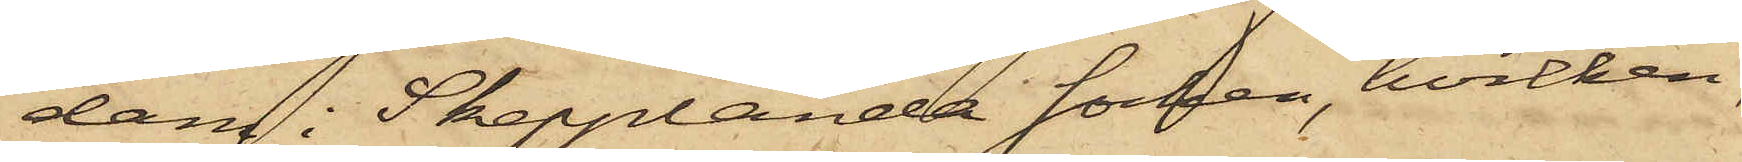dam i Skepplanda socken, hvilken
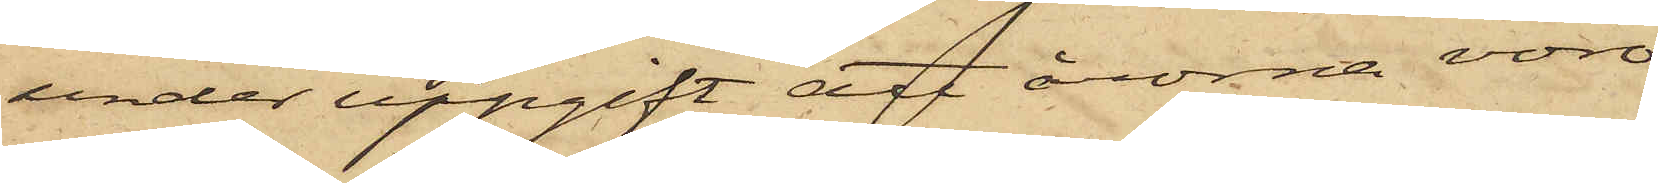under uppgift att årorna vore
